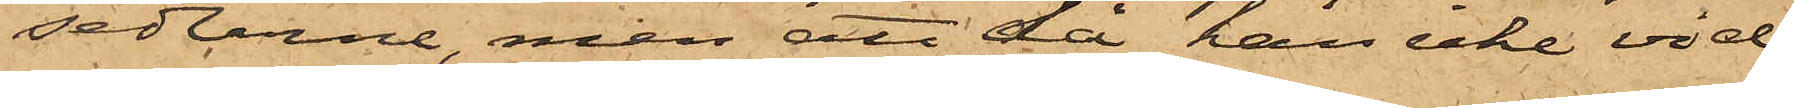sedlarne, men att då han icke vid
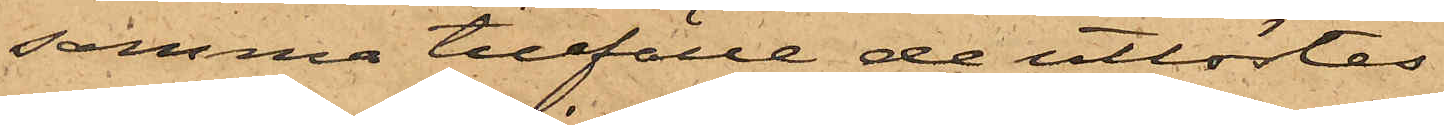samma tillfälle de utlöstes
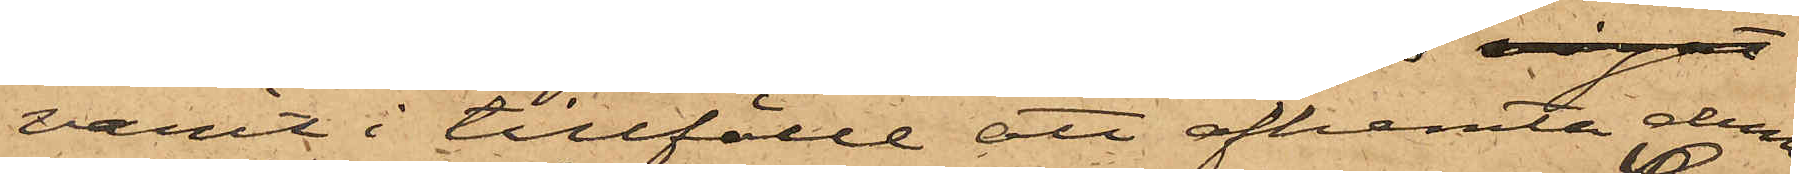varit i tillfälle att afhemta dem
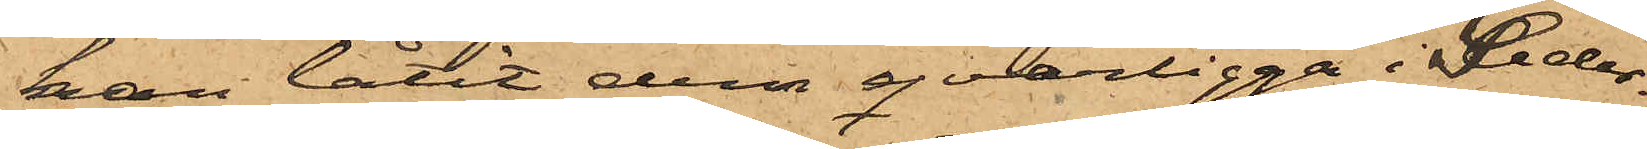han låtit dem qvarligga i Seder¬
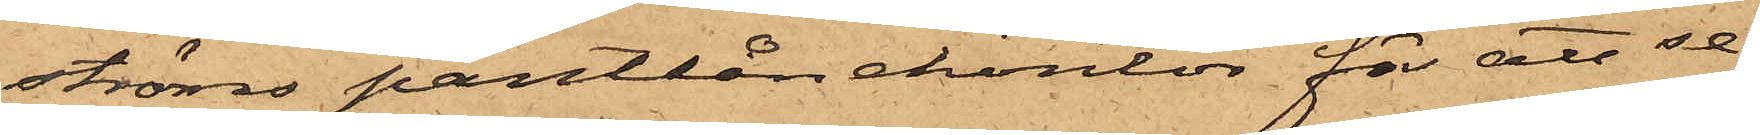ströms pantlånekontor för att se¬
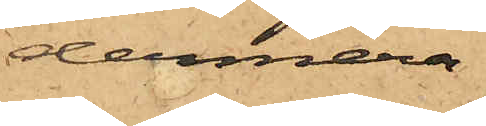dermera
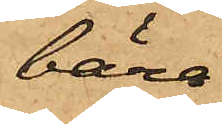bära
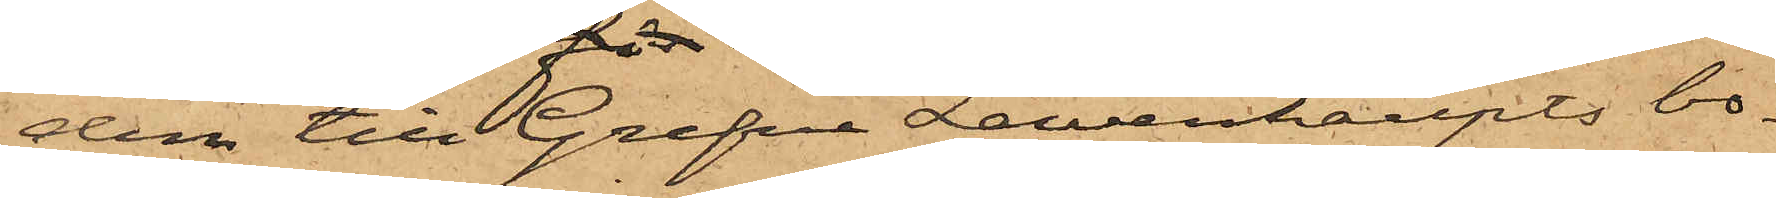dem till Grefve Lewenhaupts bo¬
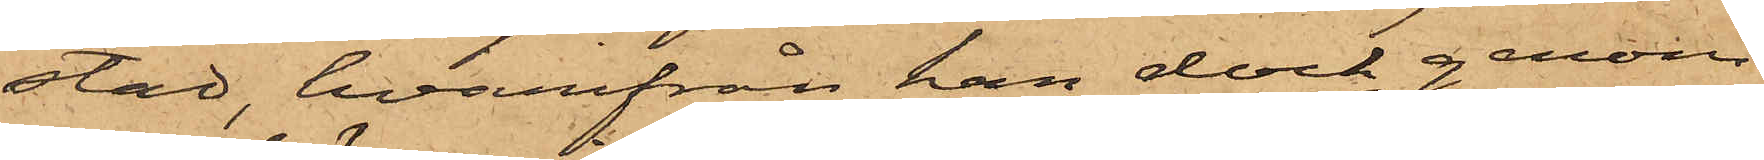stad, hvarifrån han dock genom
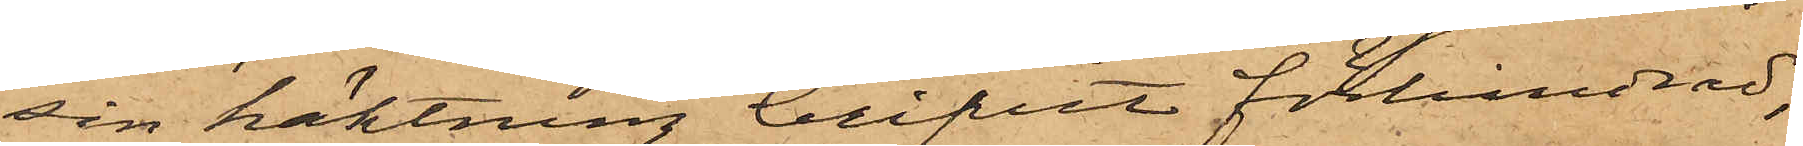sin häktning blifvit förhindrad;
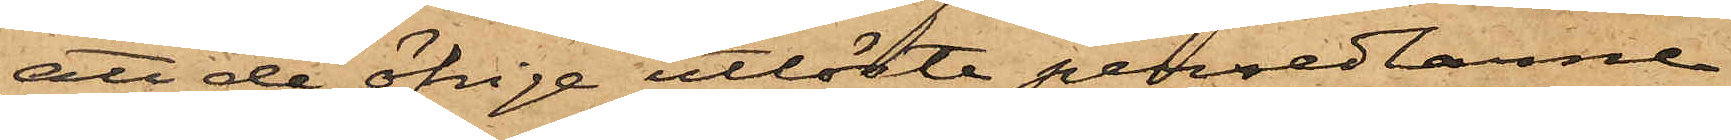att de öfrige utlöste persedlarne
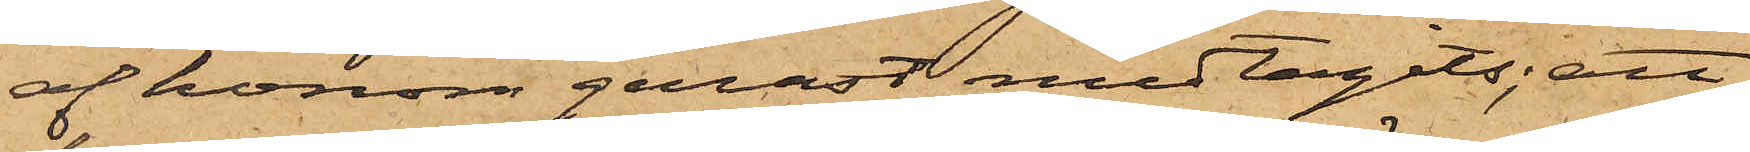af honom genast medtagits; att
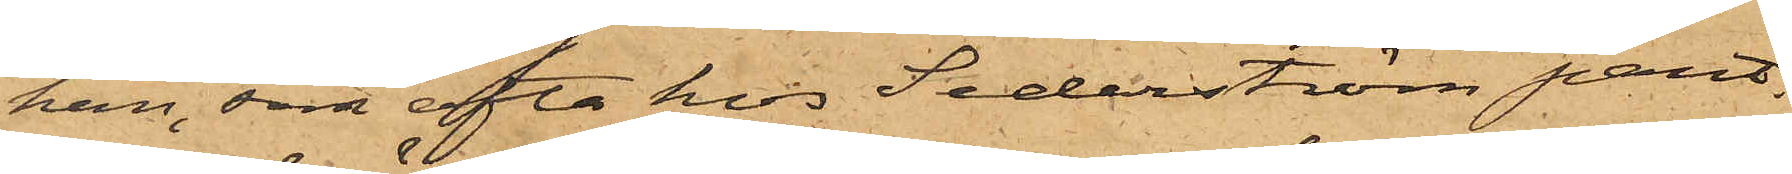han, som ofta hos Sederström pant¬
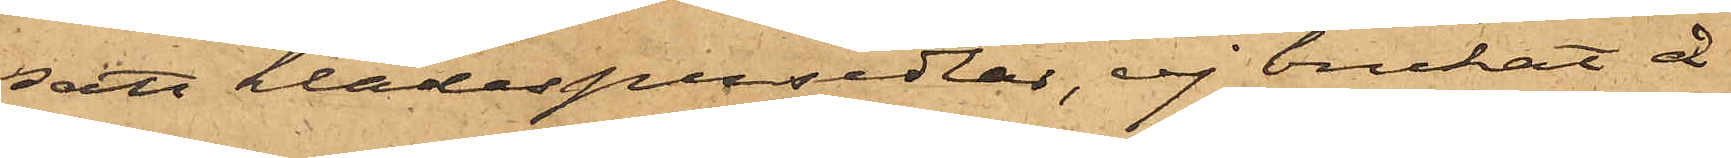satt klädespersedlar, ej brukat å
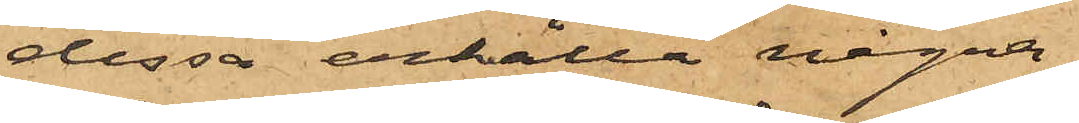dessa erhålla några
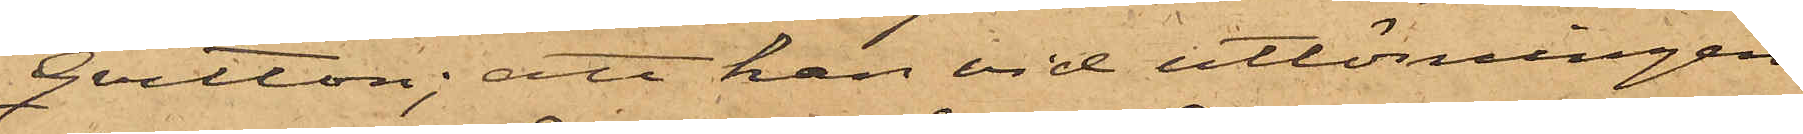Qvitton; att han vid utlösningen
